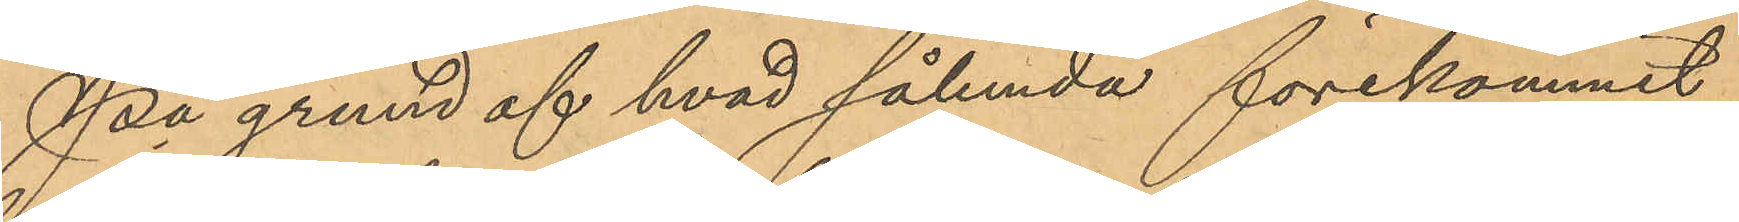På grund af hvad sålunda förekommit
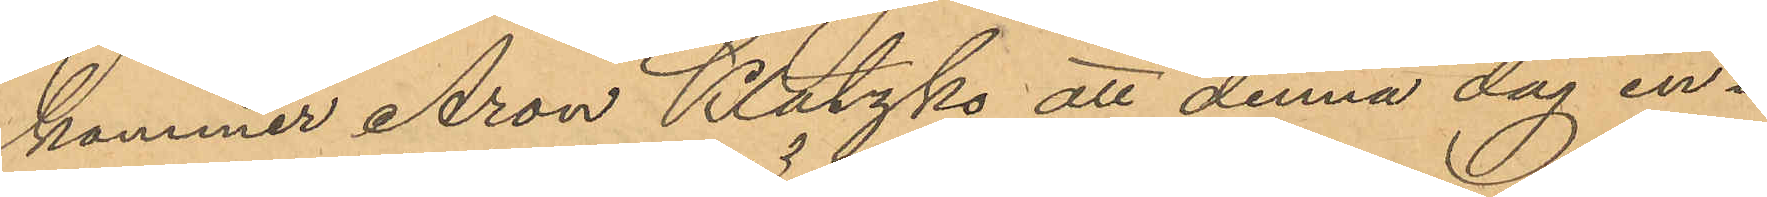kommer Aron Klatzko att denna dag in¬
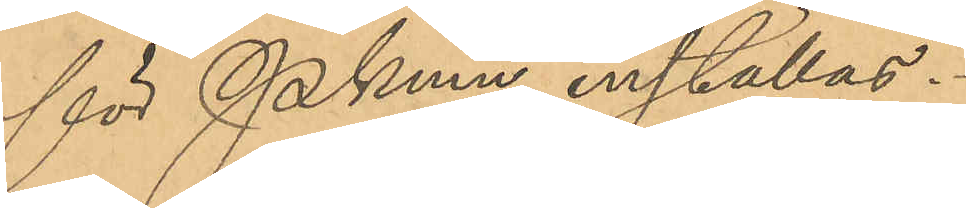för Pkmn inställas.
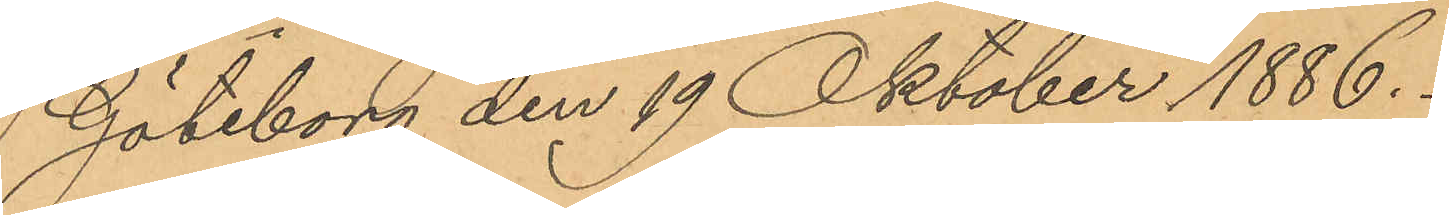Göteborg den 19 Oktober 1886.
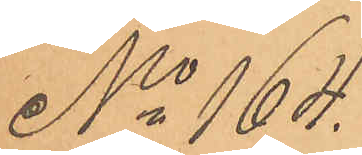No 164.
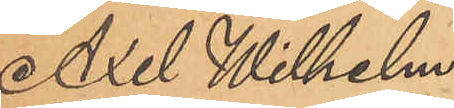Axel Wilhelm
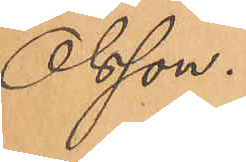Olsson.
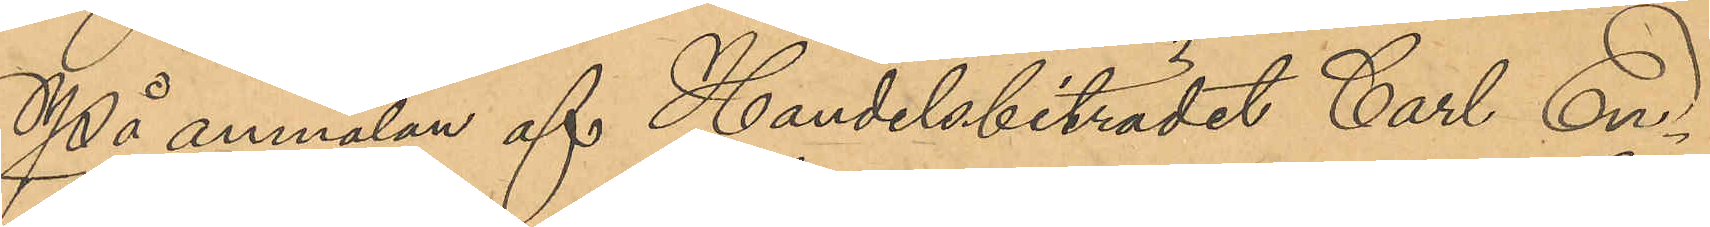På anmälan af Handelsbiträdet Carl En¬
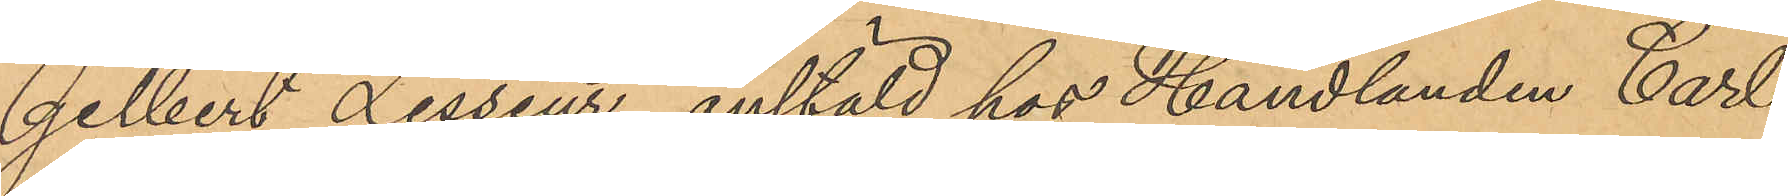gelbert Lesseur, anstäld hos Handlanden Carl
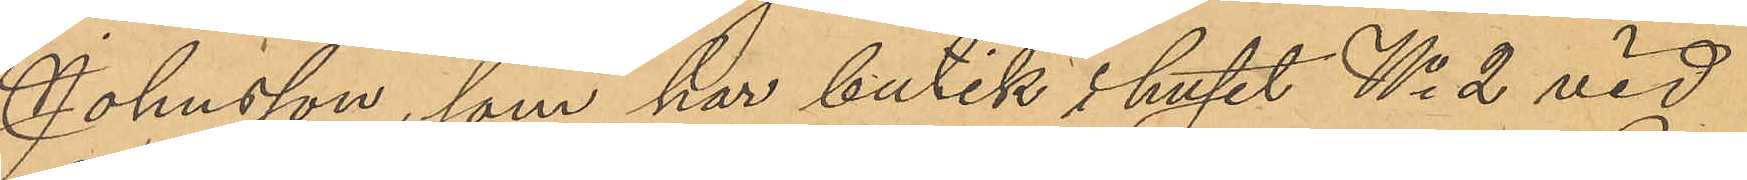Johnsson, som har butik i huset No 2 vid
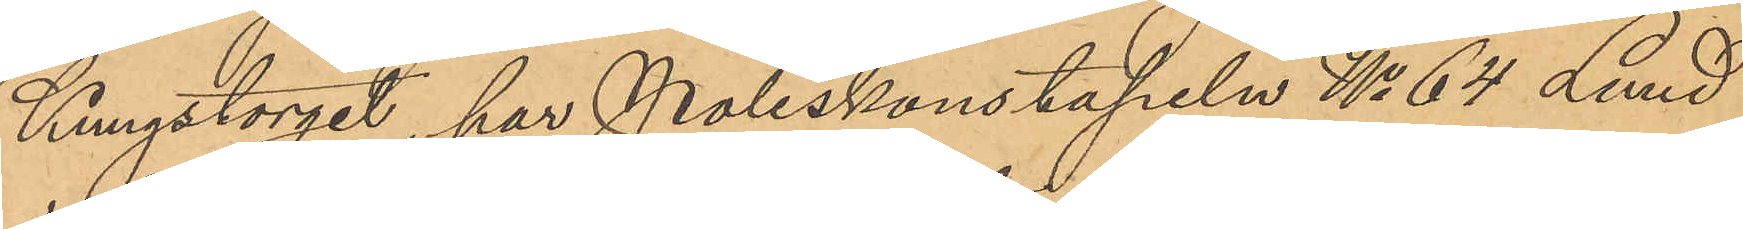Kungstorget, har Poliskonstapeln No 64 Lund
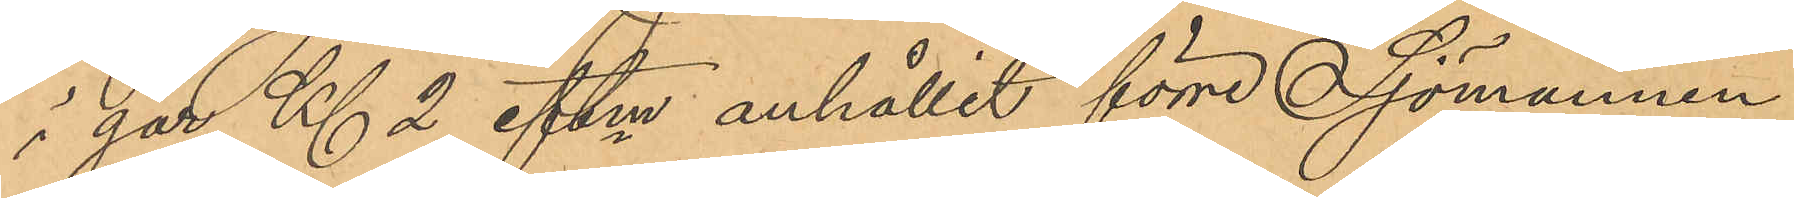i går Kl. 2 eftm anhållit förre Sjömannen
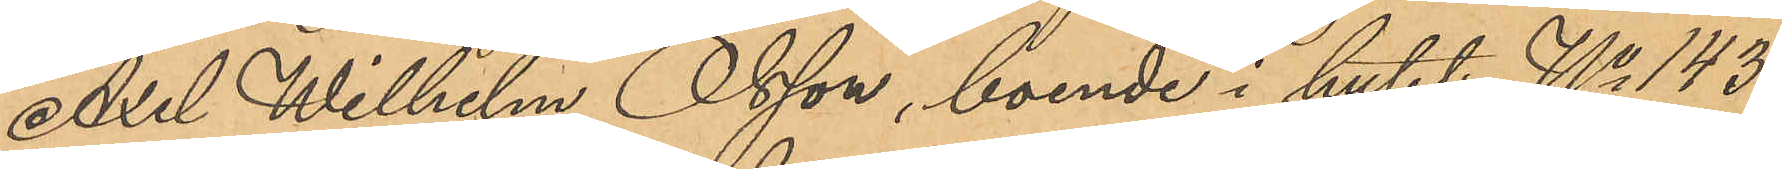Axel Wilhelm Olsson, boende i huset No 143
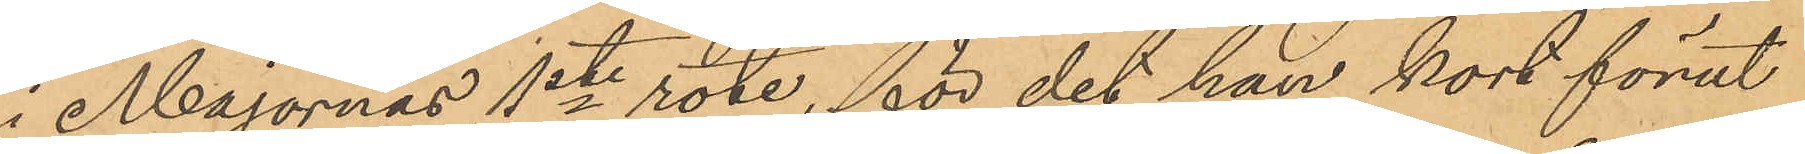i Majornas 1ste rote, för det han kort förut
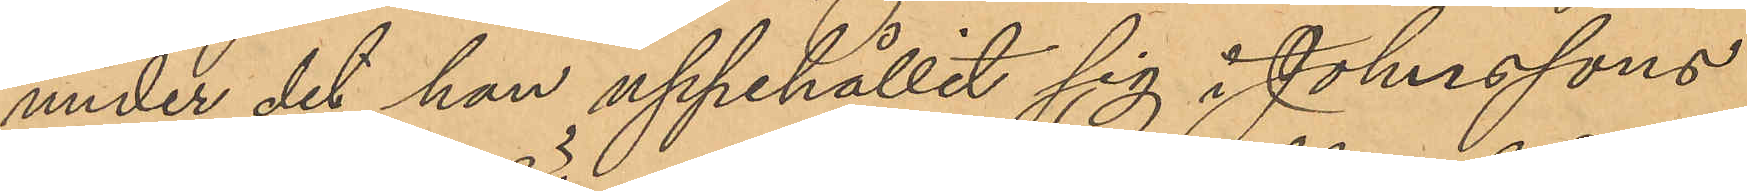under det han uppehållit sig i Johnssons
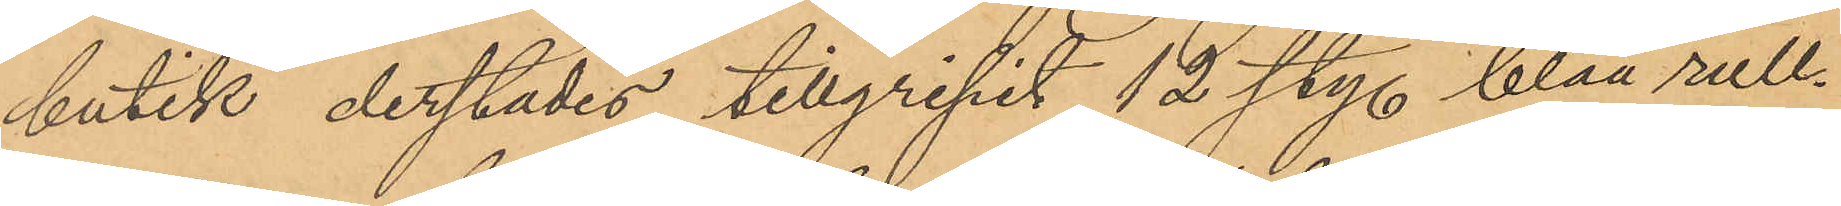butik derstädes tillgripit 12 sty. blåa rull¬
